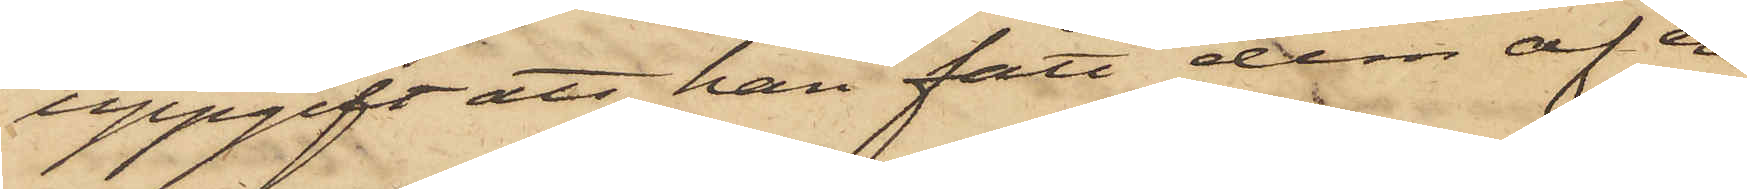uppgift att han fått dem af en
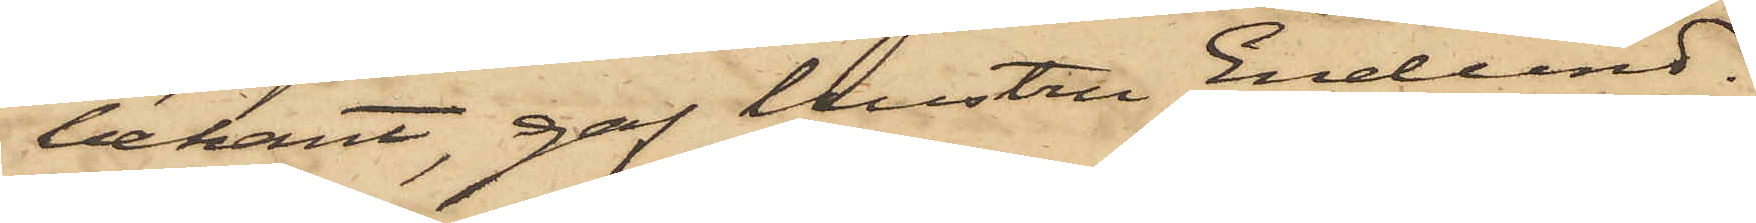bekant, gaf hustru Enelund.
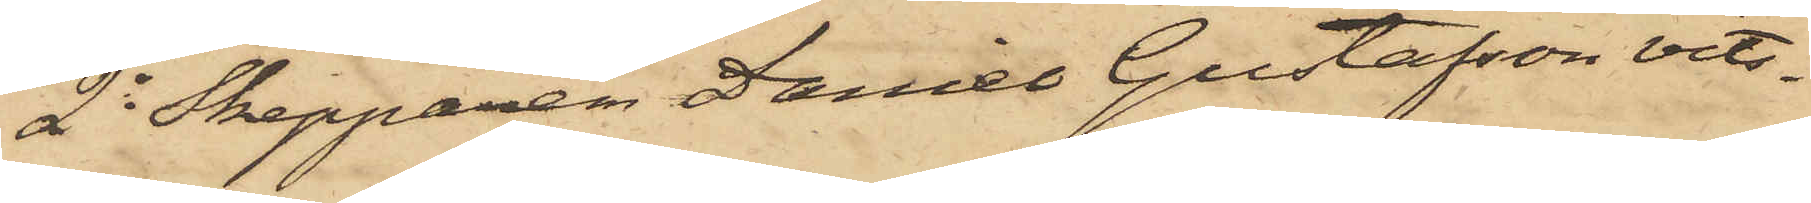2o Skepparen Daniel Gustafson vits¬
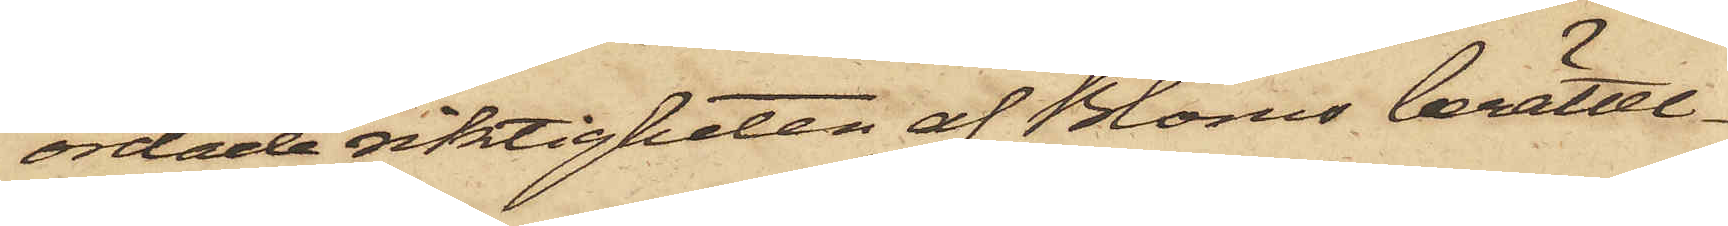ordade riktigheten af Bloms berättel¬
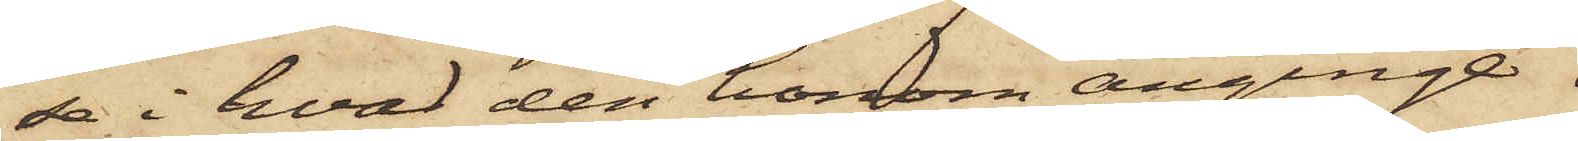se i hvad den honom anginge.
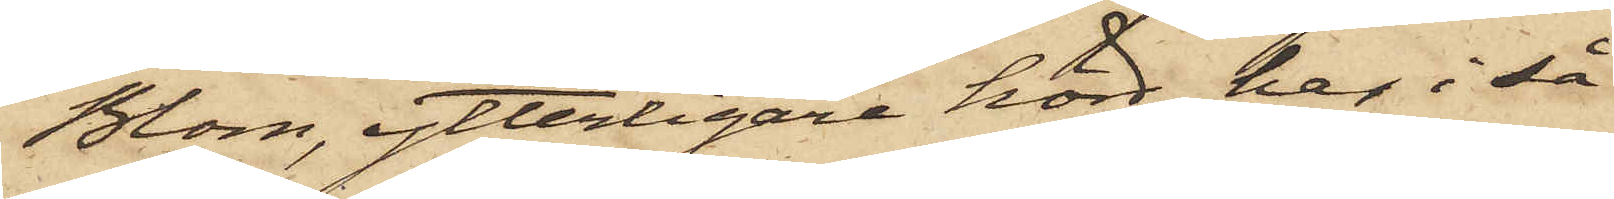Blom, ytterligare hörd, har i så
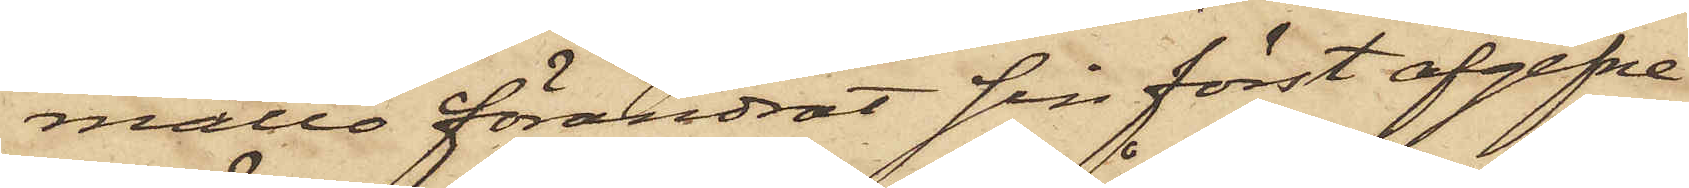måtto förändrat sin först afgifne
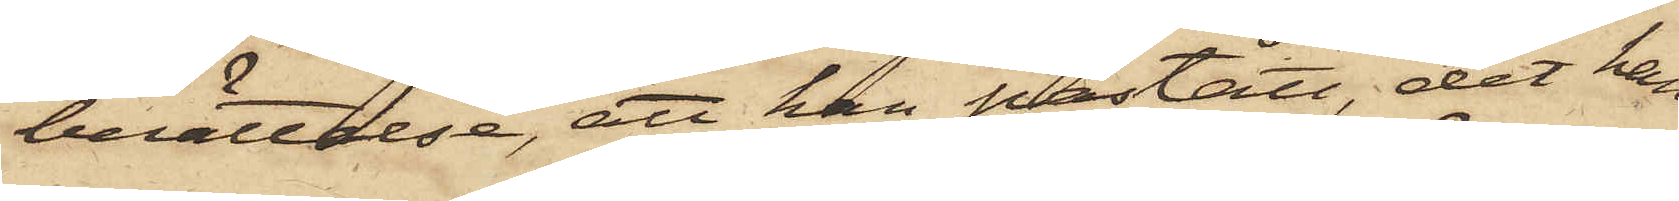berättelse, att han påstått, det han
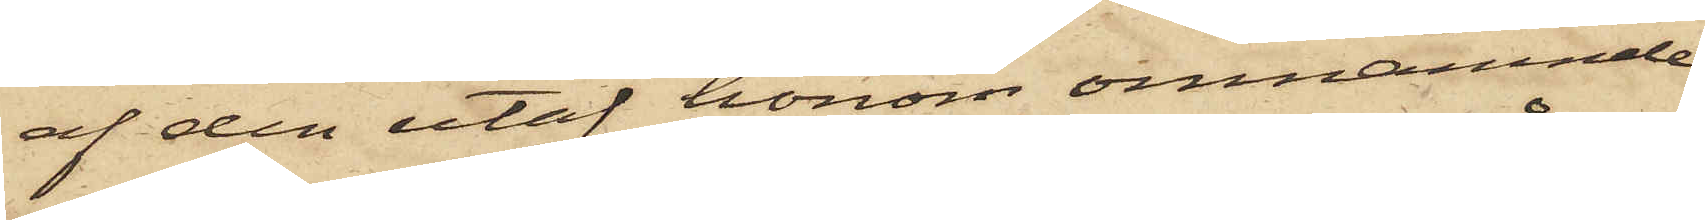af den utaf honom omnämnde
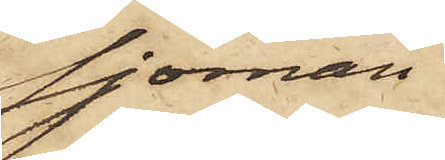sjöman
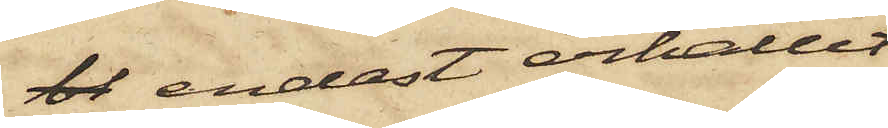bl endast erhållit
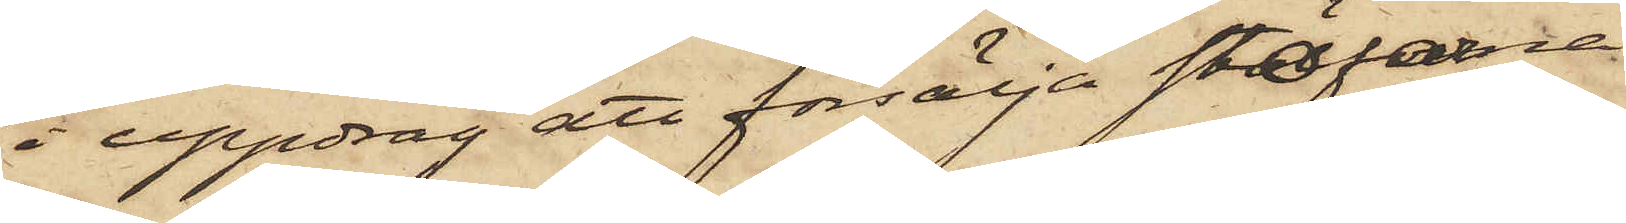i uppdrag att försälja stöflarne
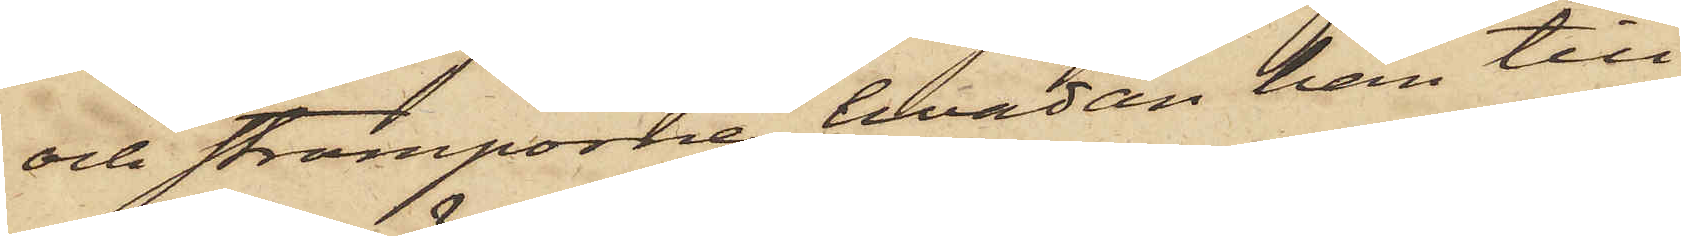och strumporna, hvadan han till
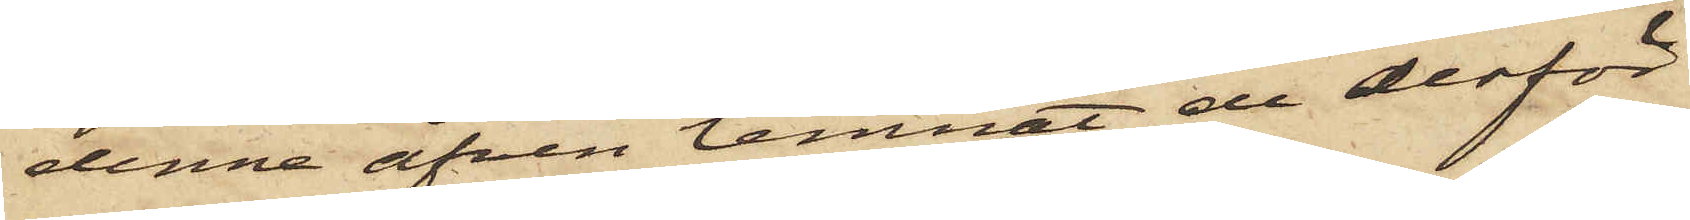denne äfven lemnat de derför
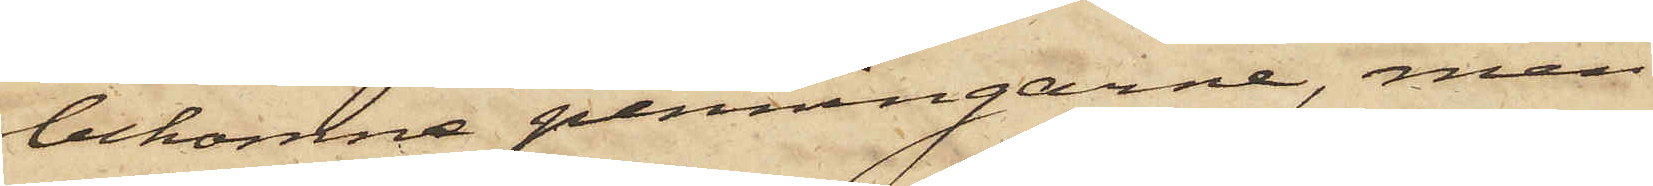bekomne penningarne, men
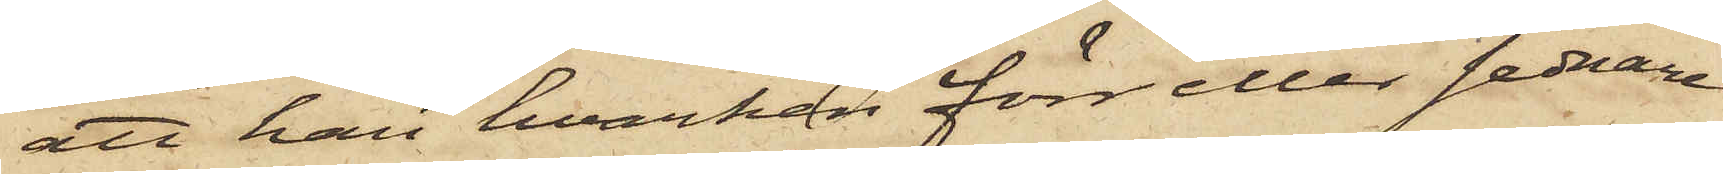att han hvarken förr eller sednare
